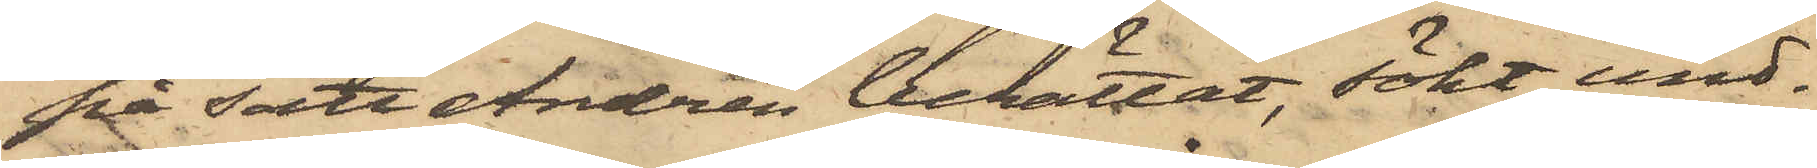på sätt Andrén berättat, sökt und¬
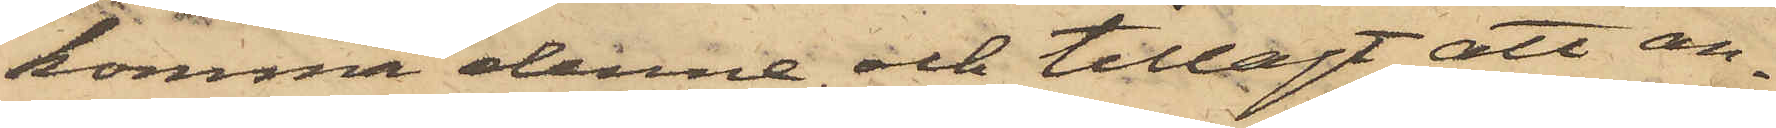komma denne och tillagt att an¬
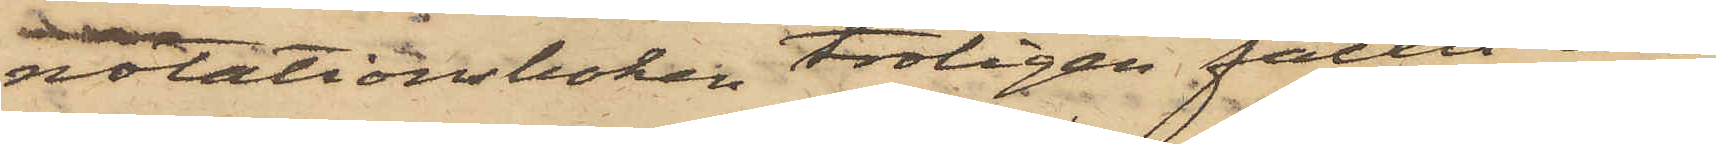notationsboken troligen fallit ur
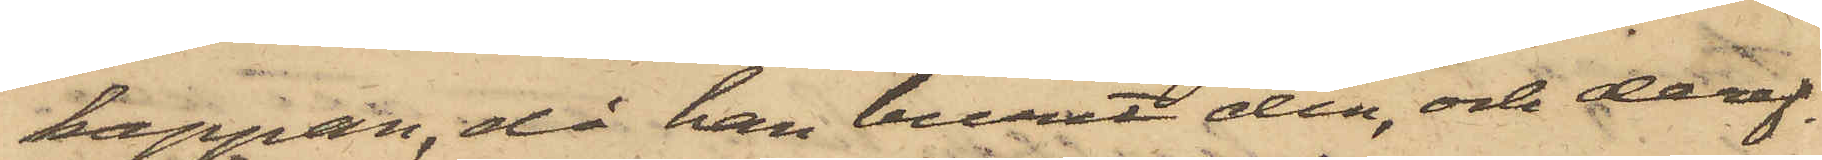kappan, då han burit den och deref¬
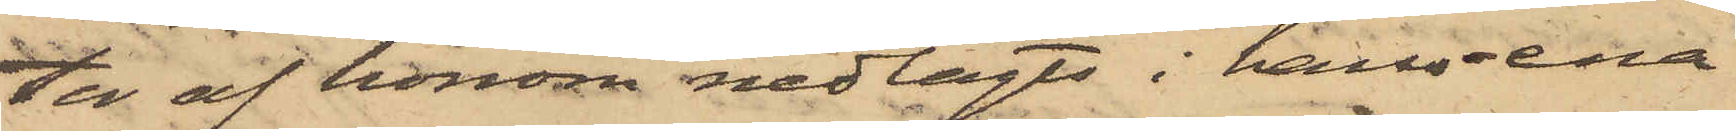ter af honom nedlagts i hans ena
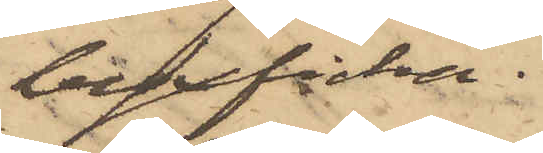byxficka.
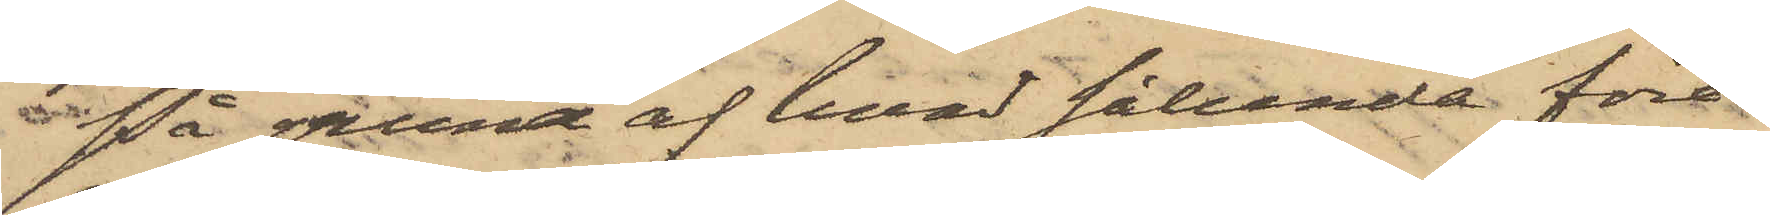På grund af hvad sålunda före¬
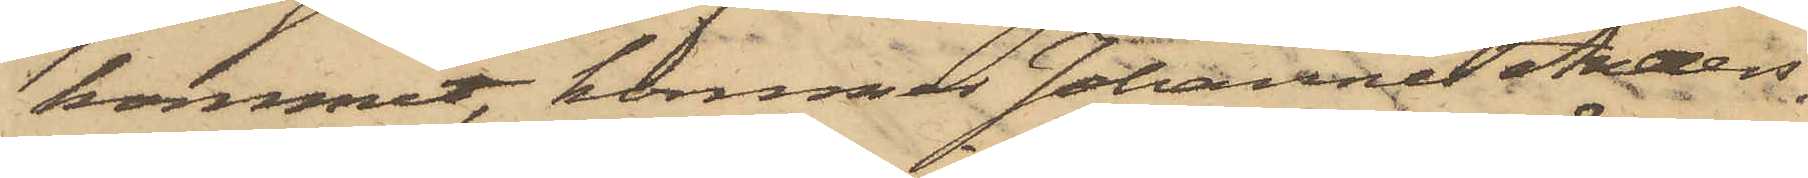kommit, kommer Johannes Anders¬
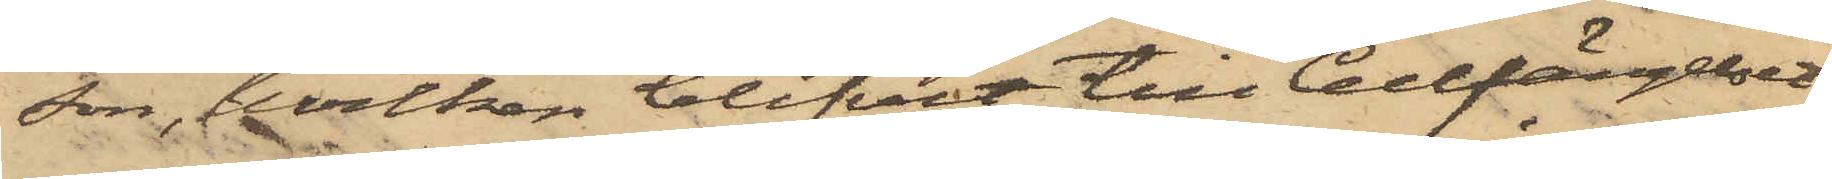son, hvilken blifvit till Cellfängelset
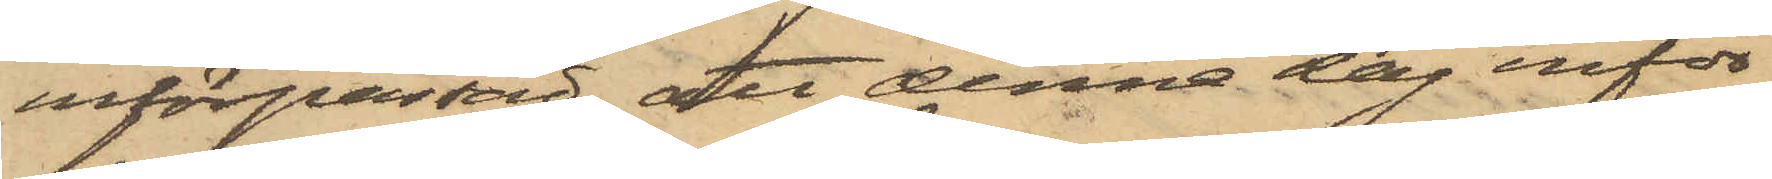införpassad, att denna dag inför
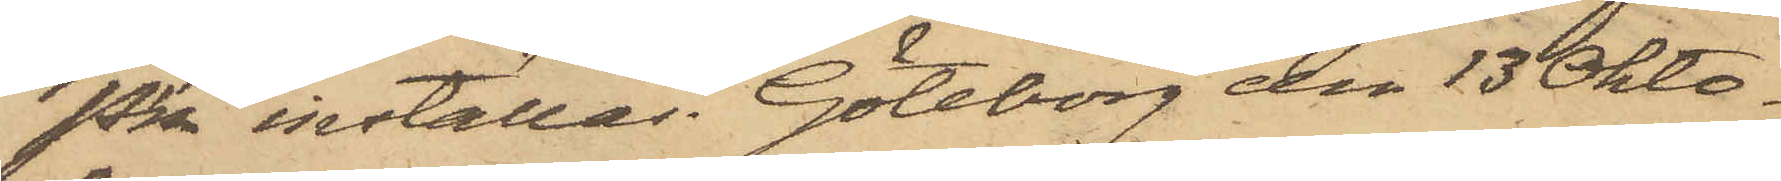Pkn inställas. Göteborg den 13 Okto¬
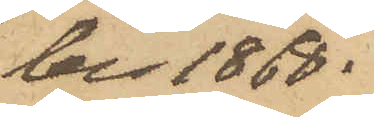ber 1868.
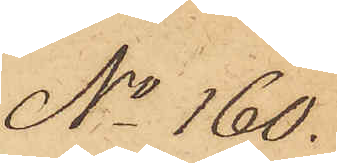No 160.
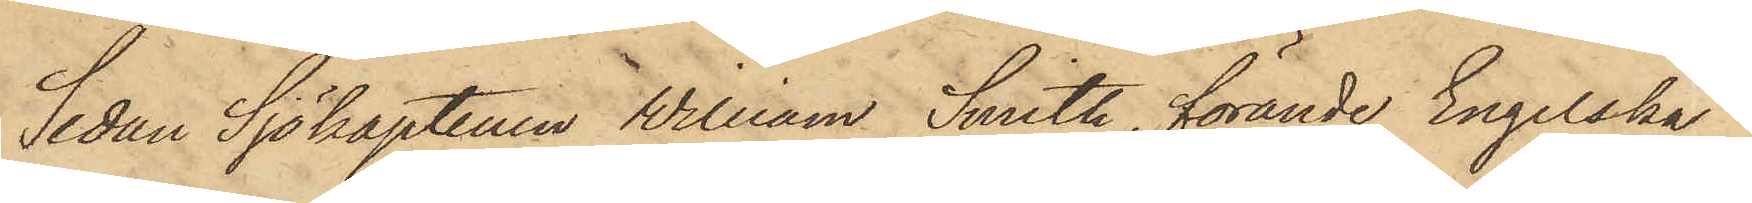Sedan Sjökaptenen William Smith, förande Engelska
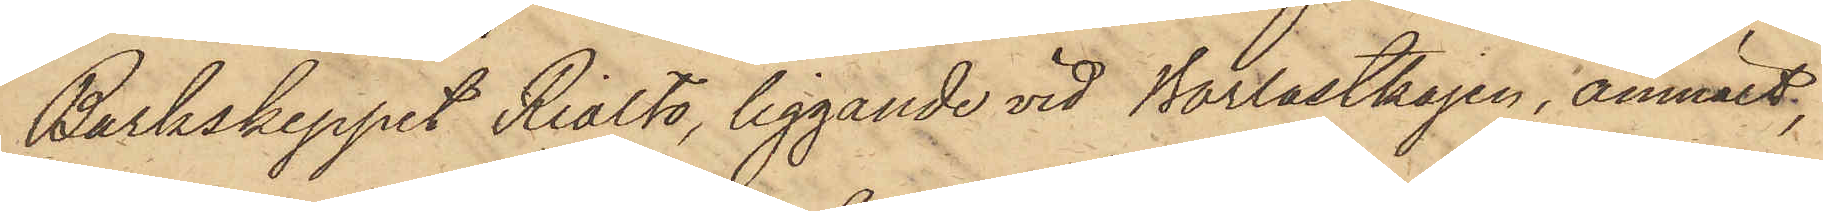Barkskeppet Rialto, liggande vid Barlastkajen, anmält,
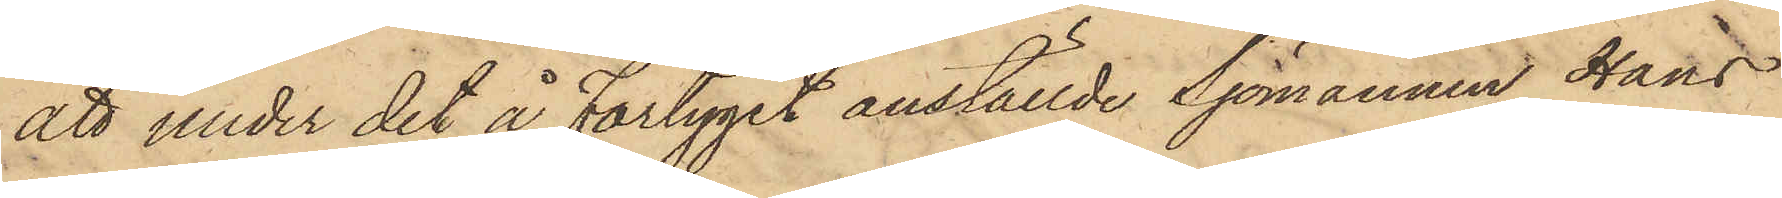att under det å Fartyget anställde Sjömannen Hans
